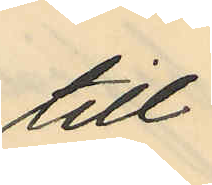till
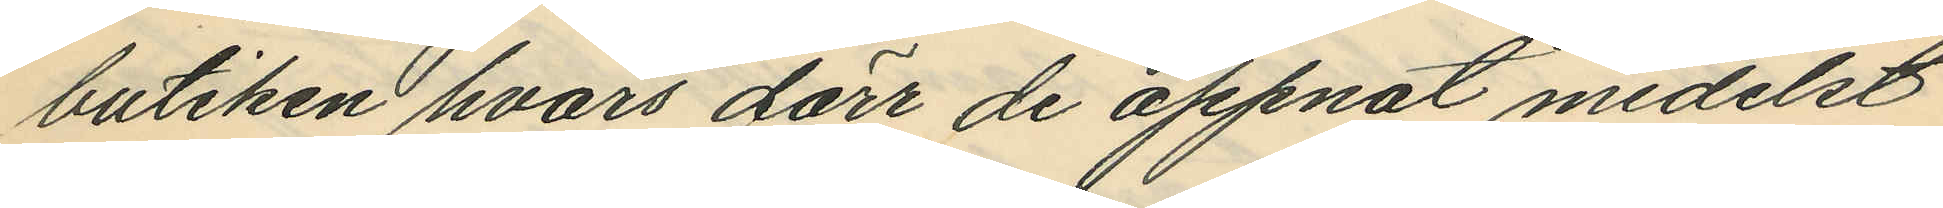butiken hvars dörr de öppnat medelst
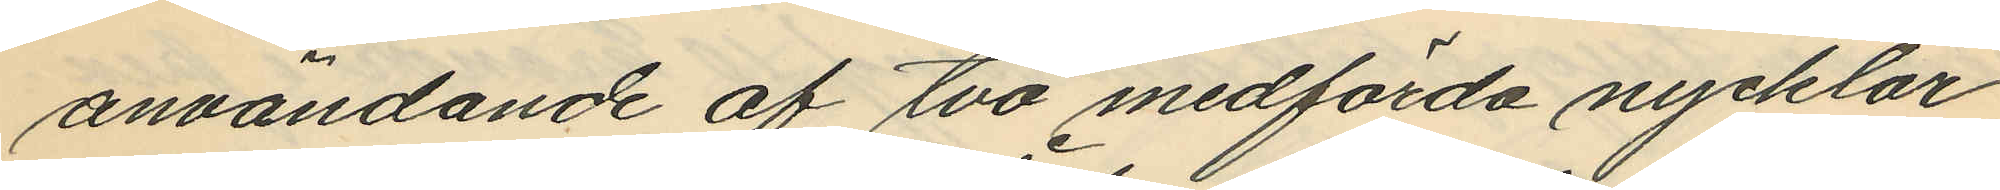användande af två medförda nycklar,
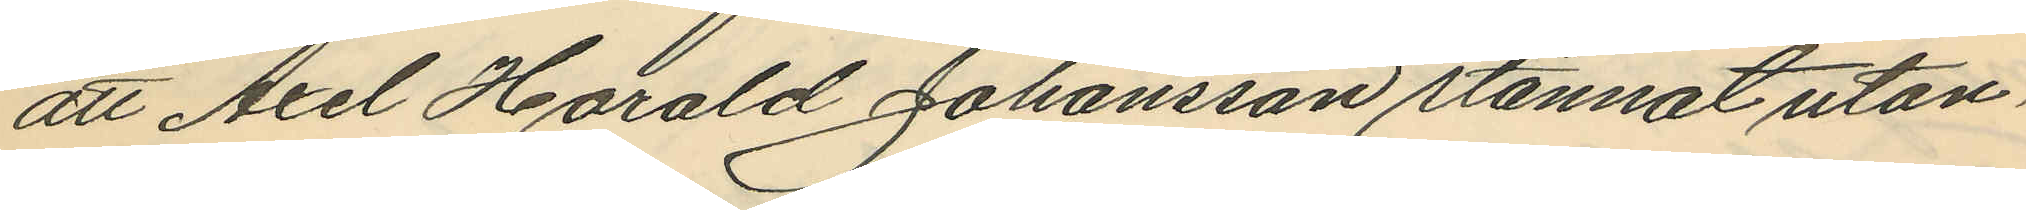att Axel Harald Johansson stannat utan¬
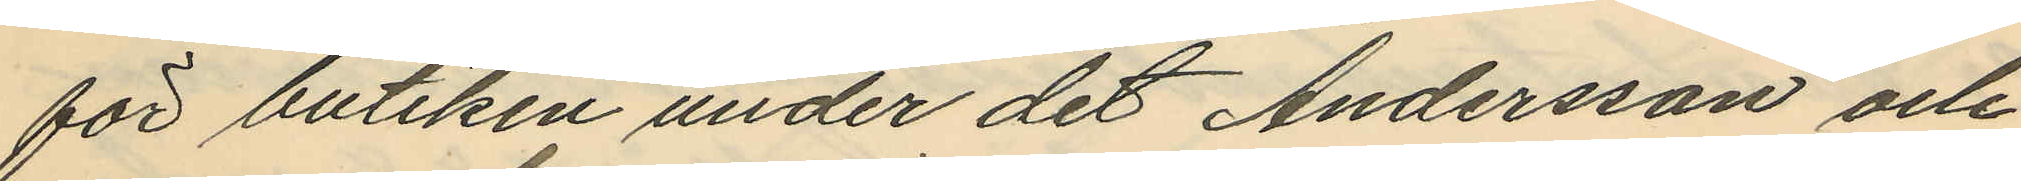för butiken under det Andersson och
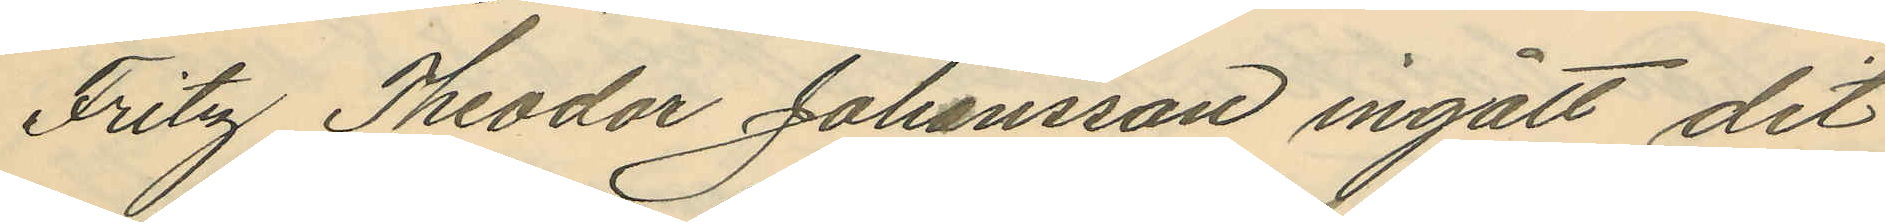Fritz Theodor Johansson ingått dit
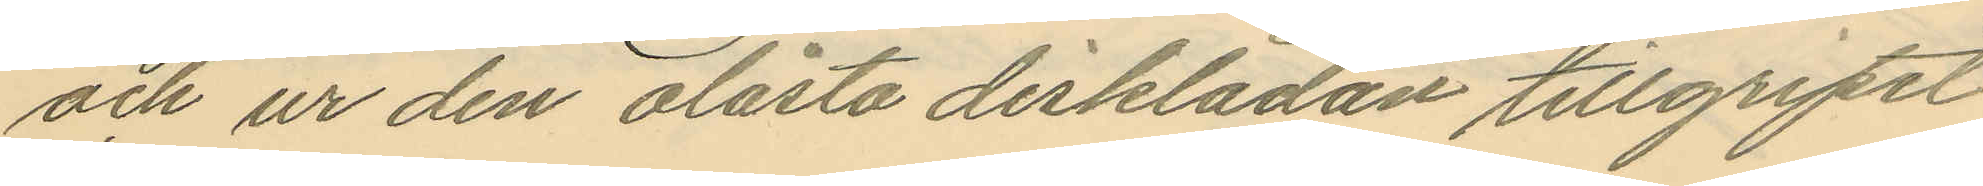och ur den olåsta disklådan tillgripit
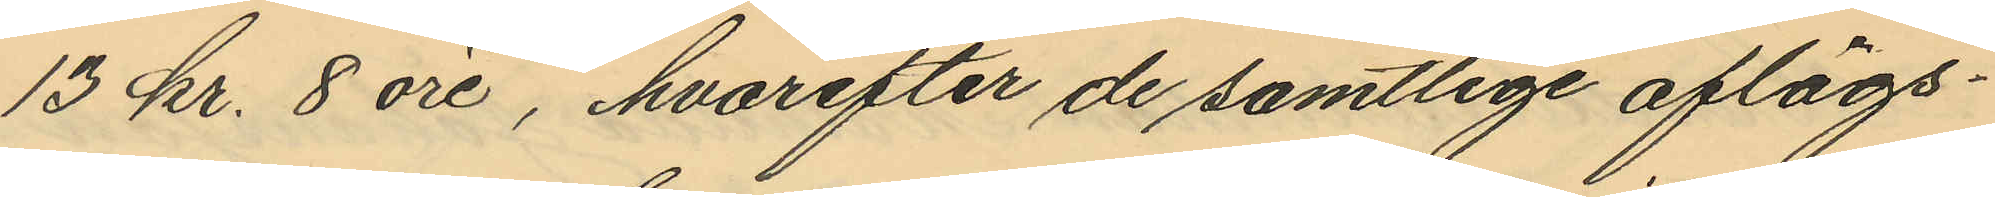13 kr. 8 öre, hvarefter de samtlige aflägs¬
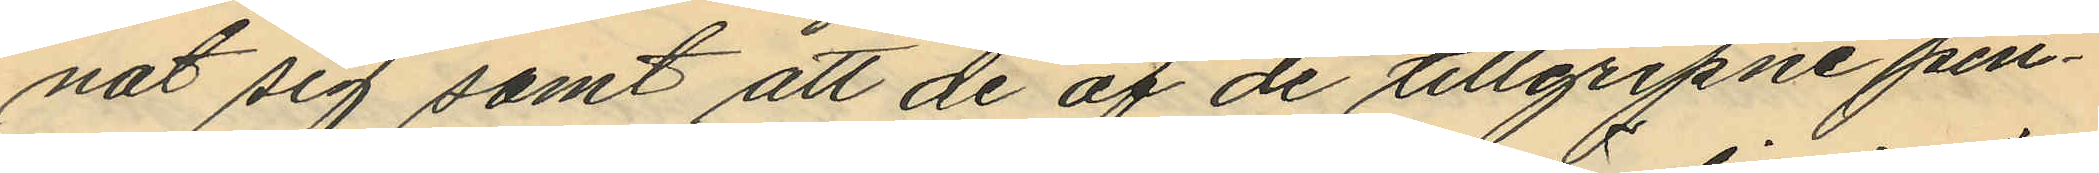nat sig samt att de af de tillgripne pen¬
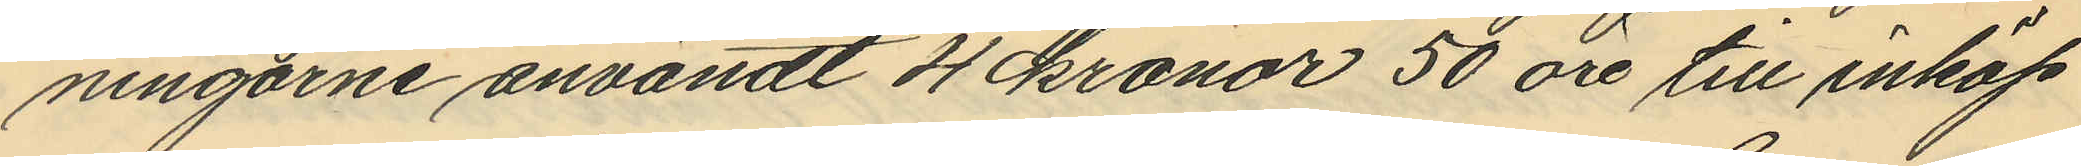ningarne användt 4 kronor 50 öre till inköp
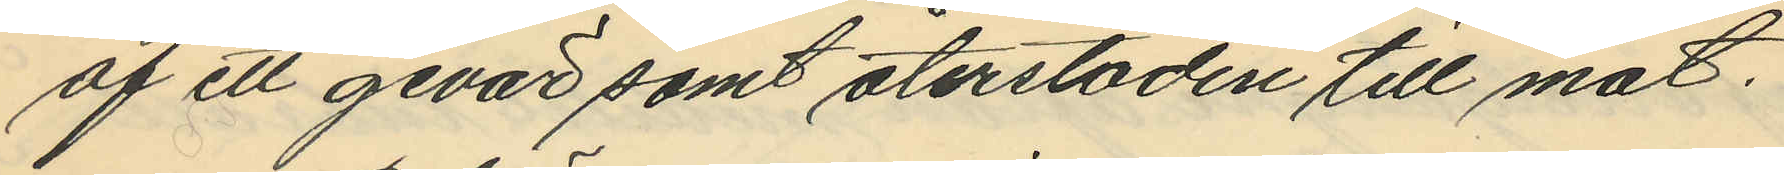af ett gevär samt återstoden till mat.
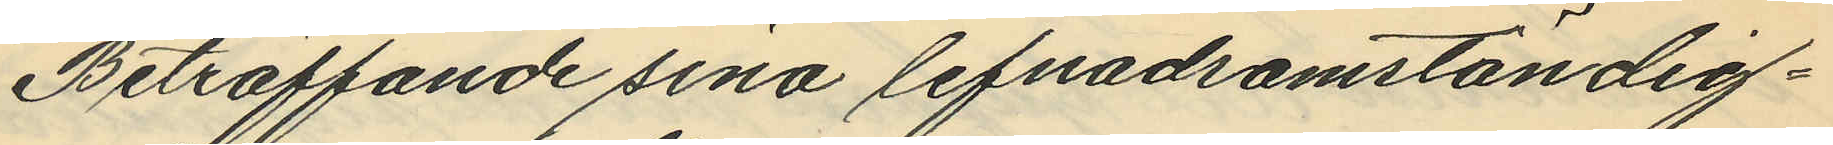Beträffande sina lefnadsomständig¬
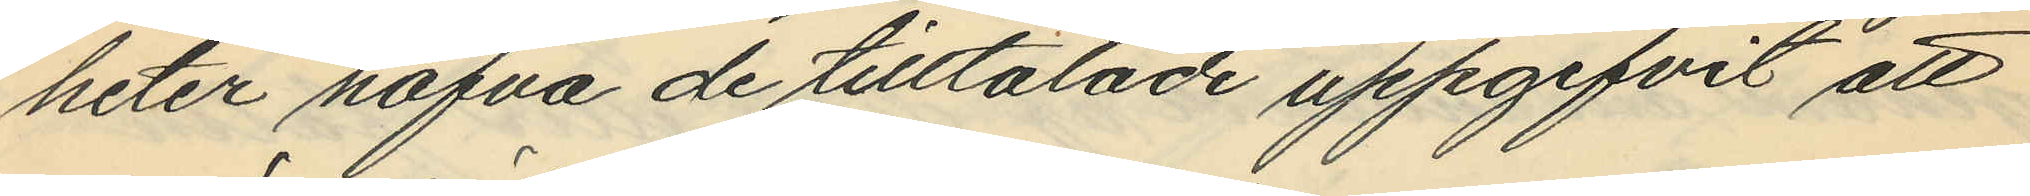heter hafva de tilltalade uppgifvit att
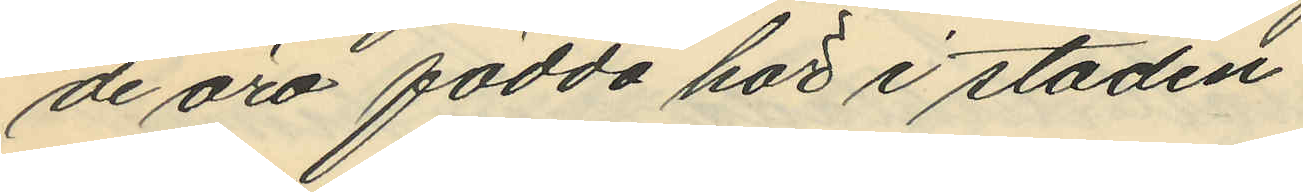de äro födda här i staden.
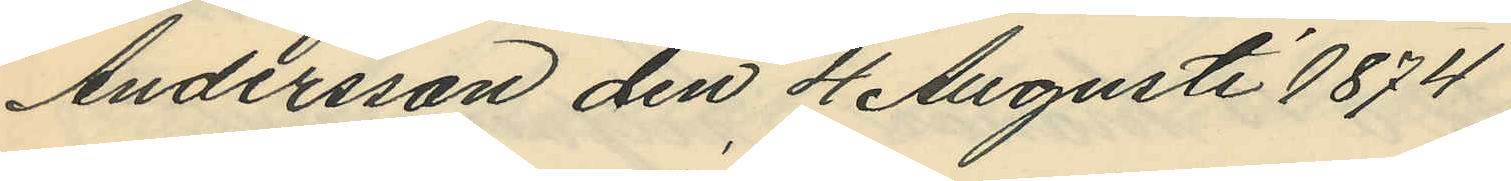Andersson den 4 Augusti 1874
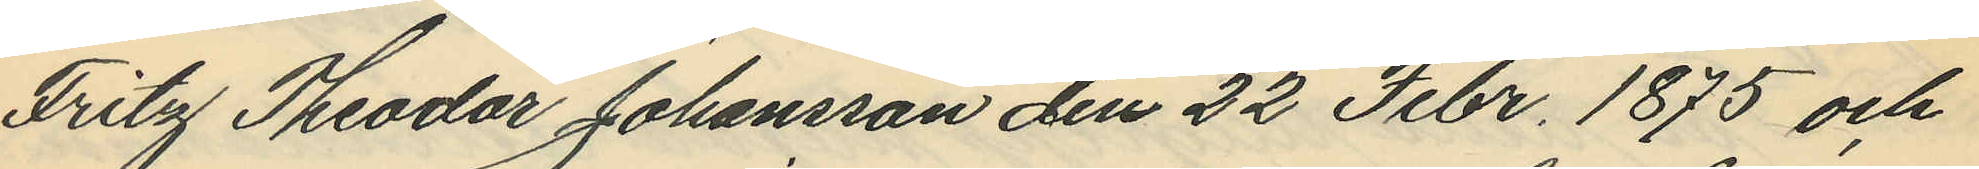Fritz Theodar Johansson den 22 Febr. 1875 och
